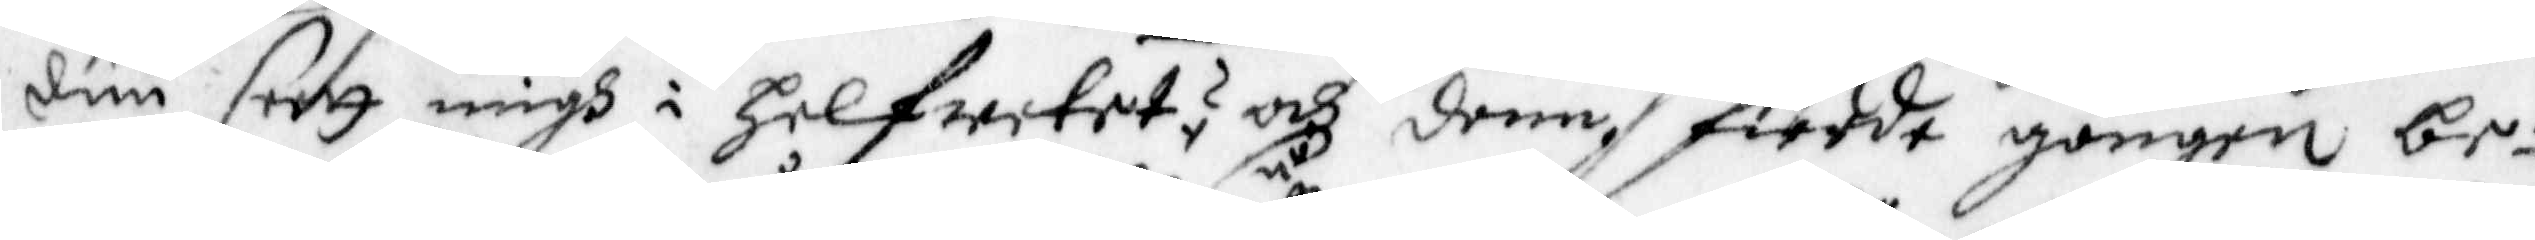duu seett migh i Helfwetet, och denn, fierde gången be¬
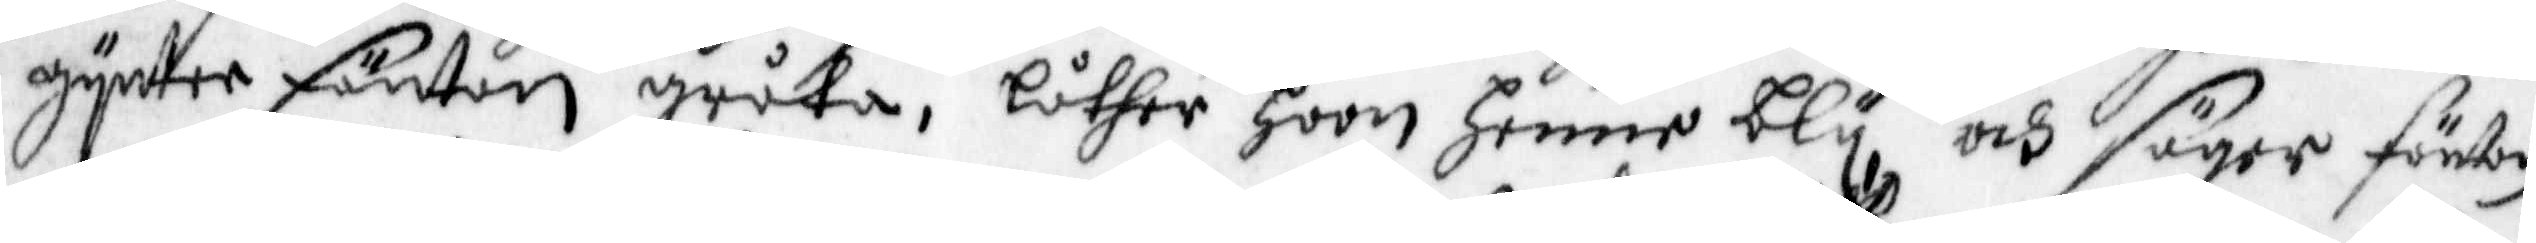gynter Fäntan gråta, låther så hoon Henne bly, och säger förston
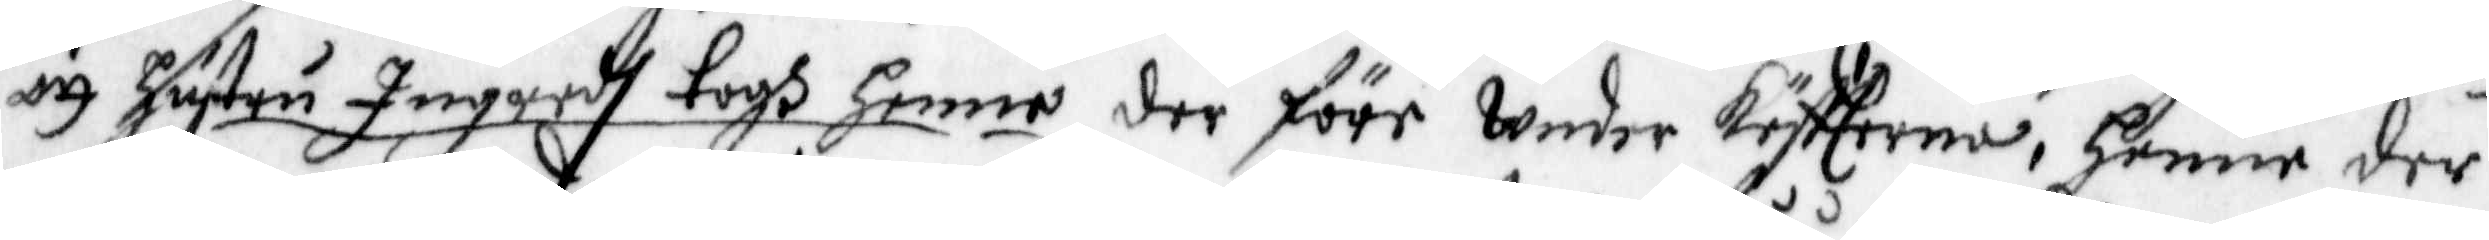och hustru Ingredh togh henne der före Under köftterna, henne der
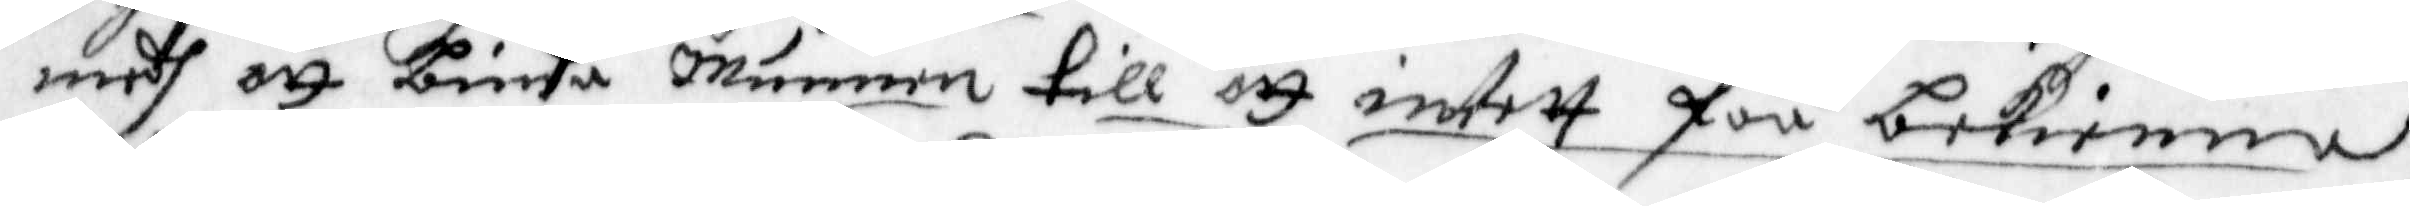medh att binda Munnen till att intett fåå bekienna,
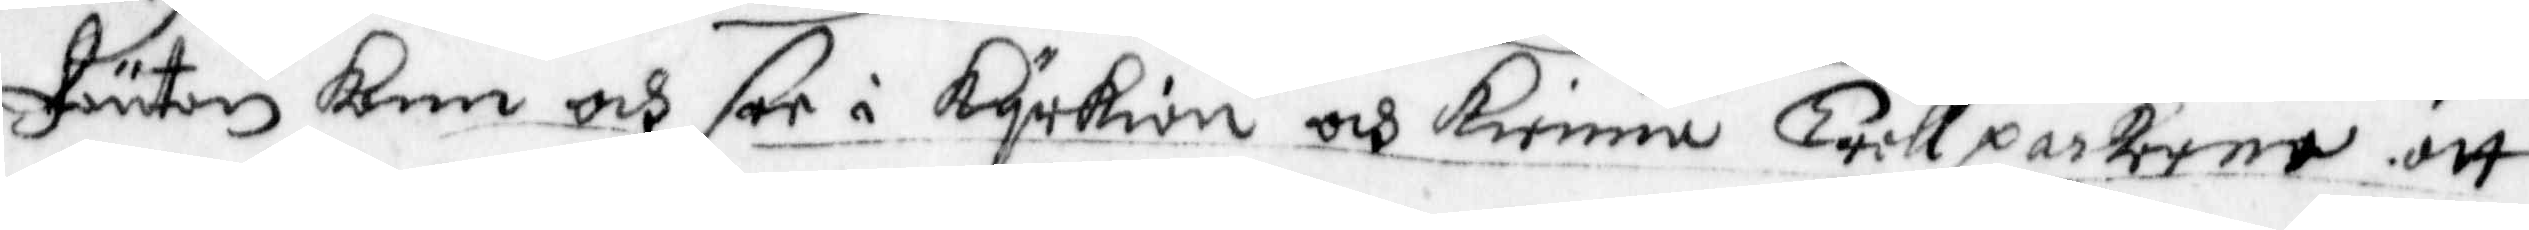Fäntan kom och ser i kyrkian och kienna trållpackorna att
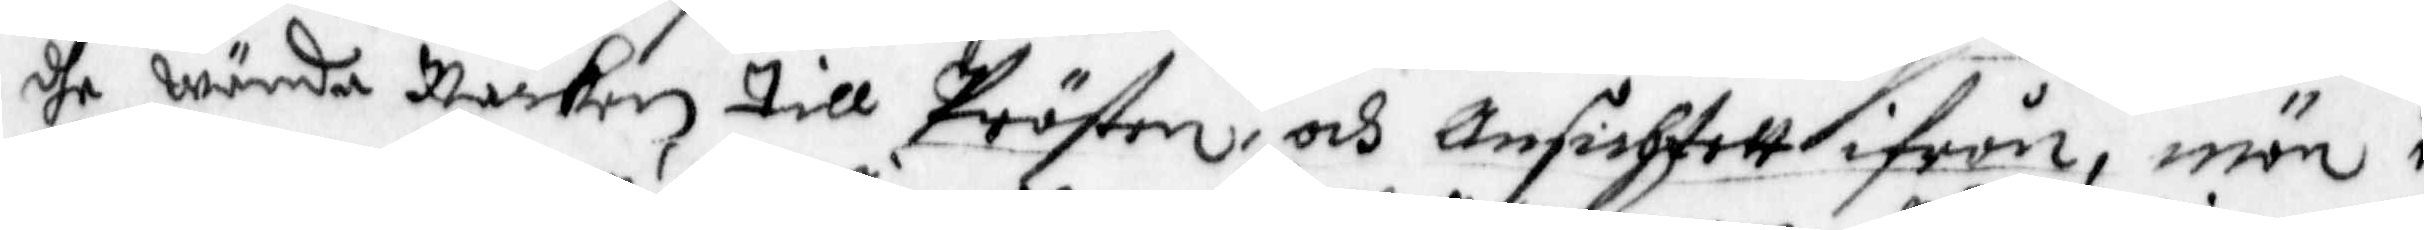dhe wända Nacken till Prästen, och Ansichtett ifrån, män i
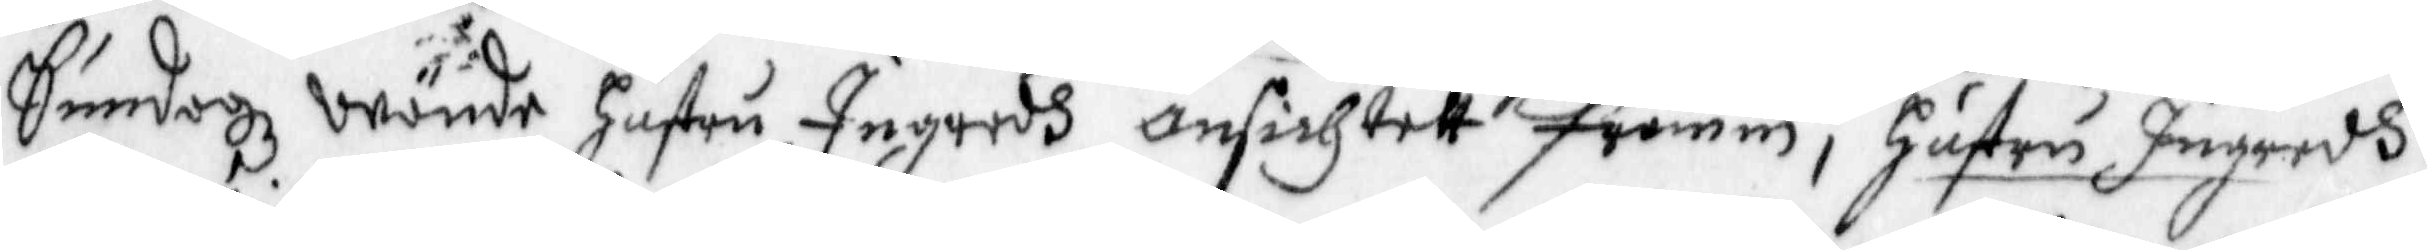Söndagz wände hustru Ingredh ansichtett framm, Hustru Ingredh
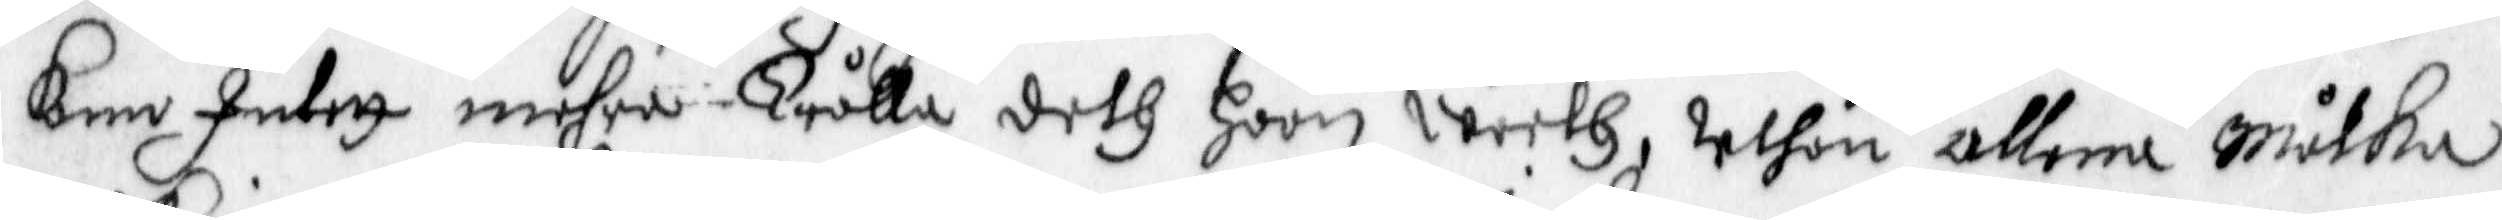Kan Intett mehra Trålla deth hoon weeth, uthan allena Målka
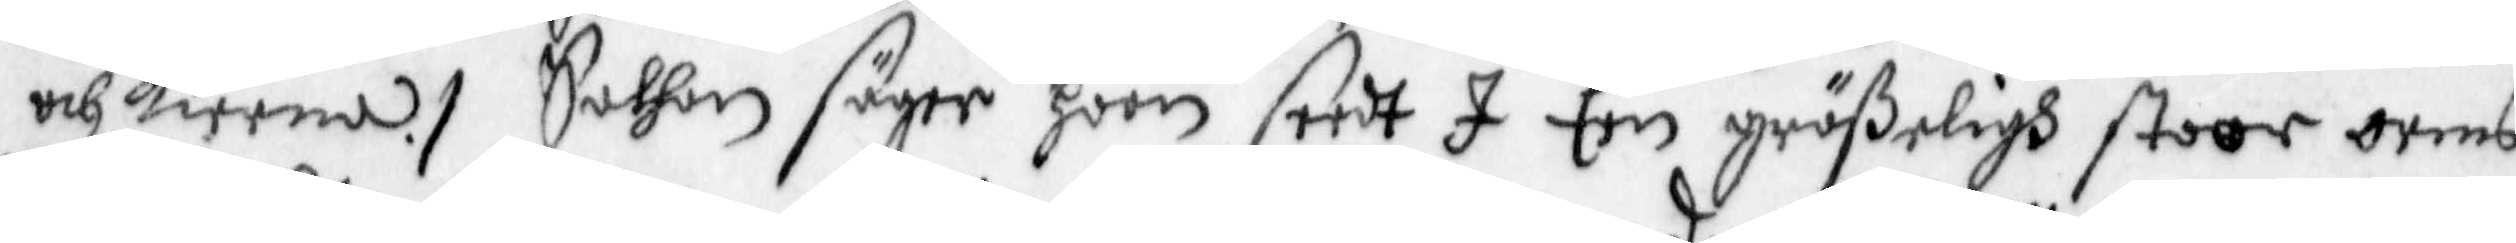och kierna, Sathan säger hoon seedt I Een größeligh stoor orms
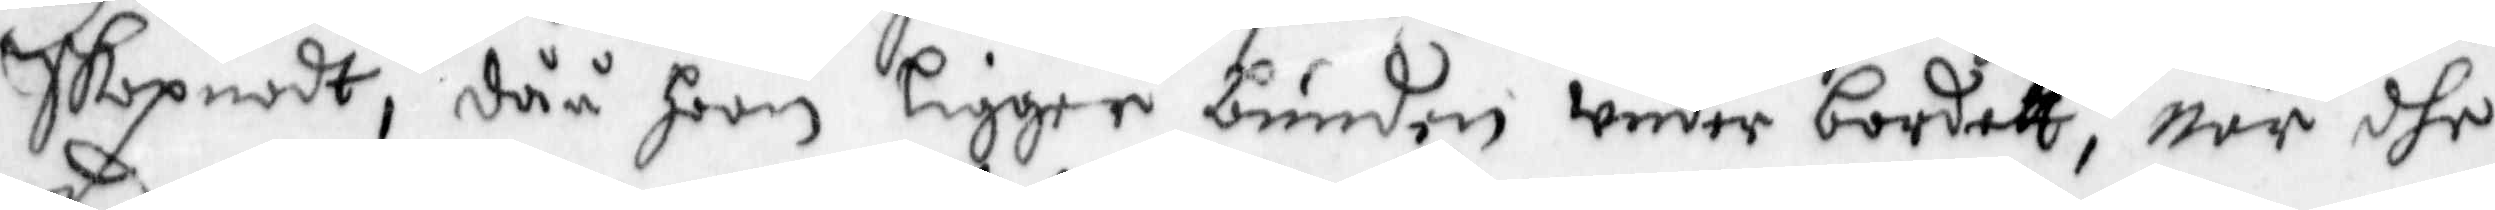Skapnadt, dåå hoon ligger bunden under bordett, när dhe
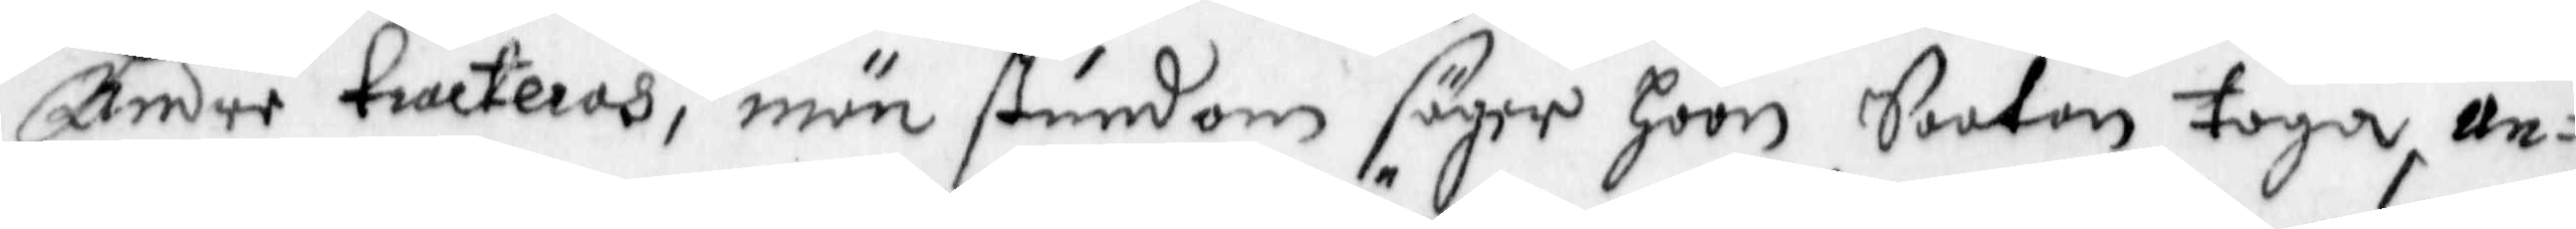Andre tracteras, män stundom säger hoon Saatan taga, an¬
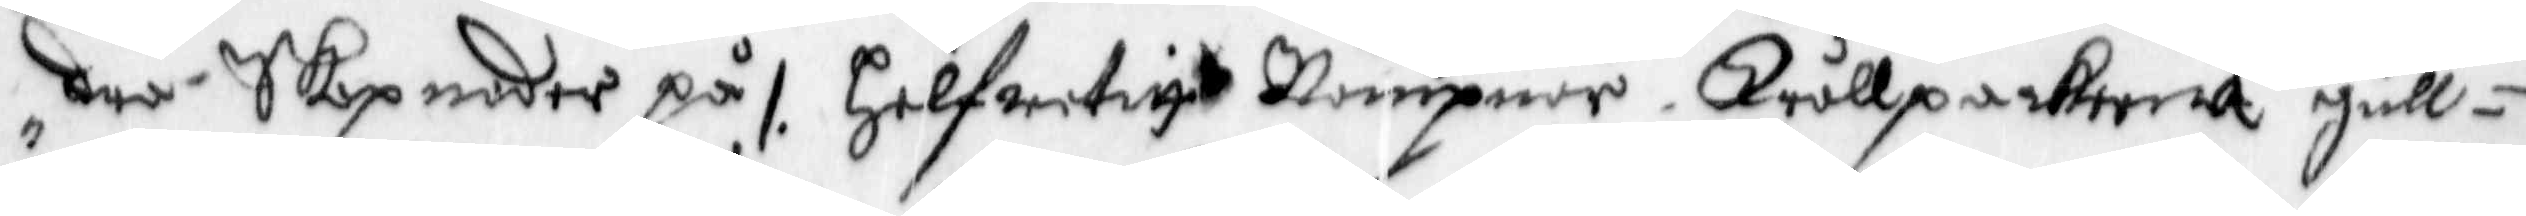dra, Skapnder på /. Helfwetitt Nämpner Trållpackerna gull¬
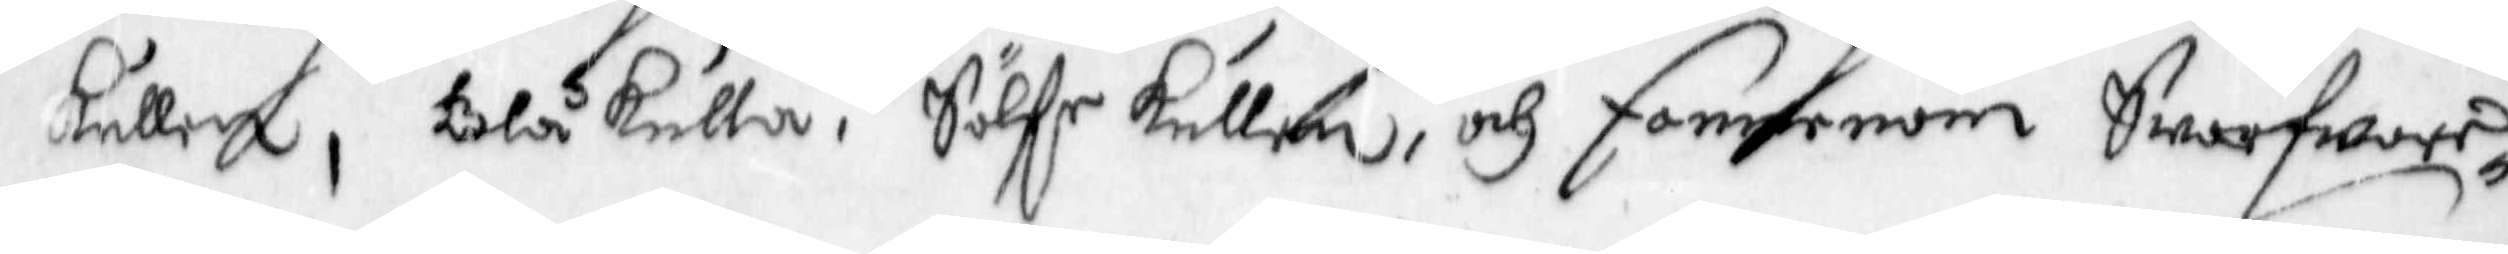kullen, Blåkulla; Sölfr kullen och Fannenom Swarfware¬
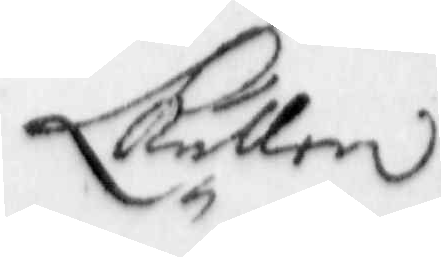Kullen
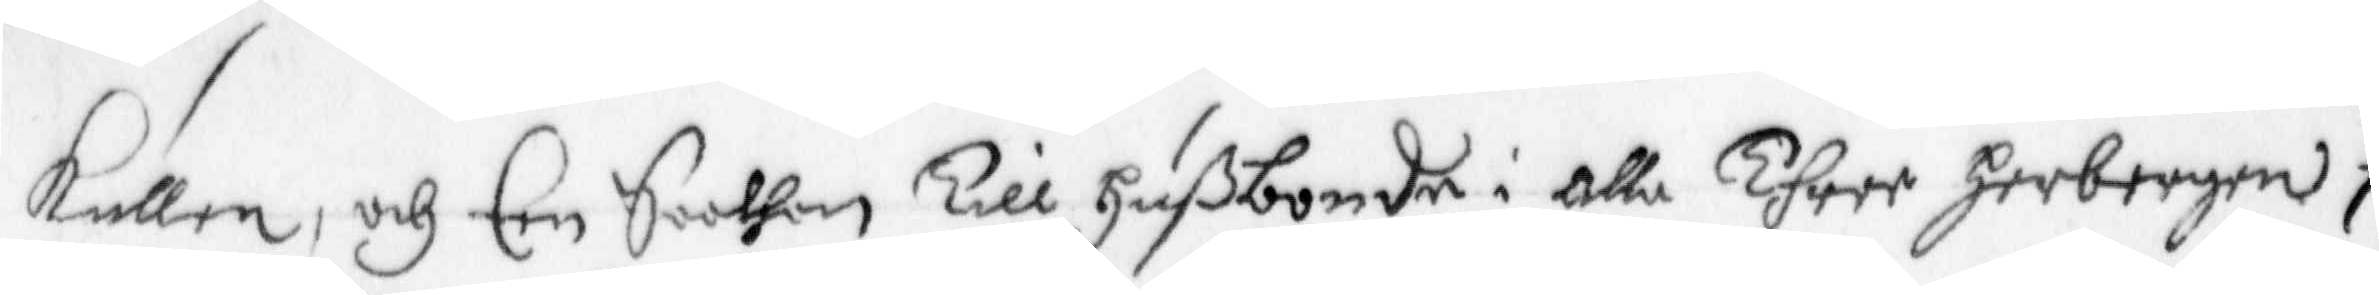Kullen, och Een Saathan till Hußbonde i alla Three Herbergen,
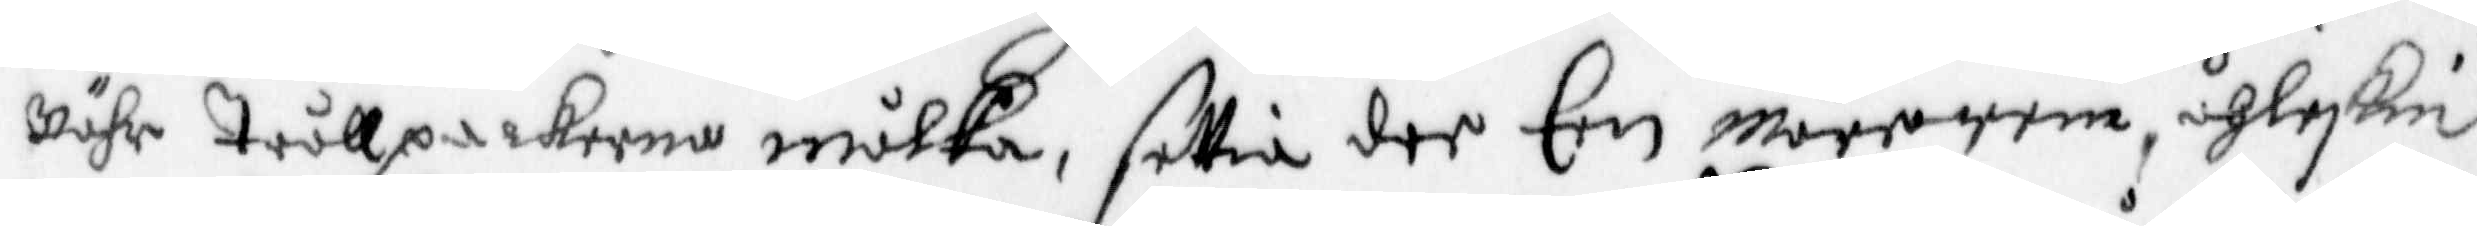Nähr trållpackorna mölka, settia dee Een Märerem, åhleskin
